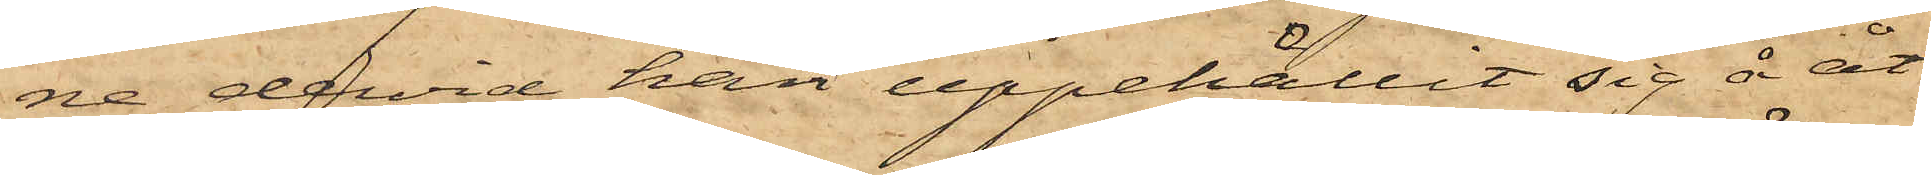ne, dervid han uppehållit sig å åt¬
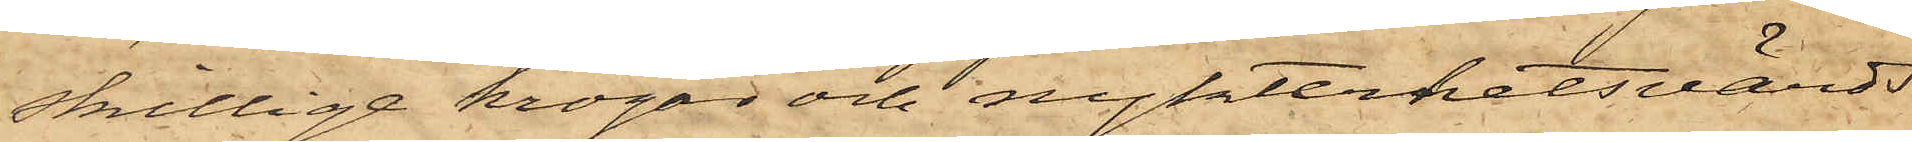skillige krogar och nykterhetsvärds¬
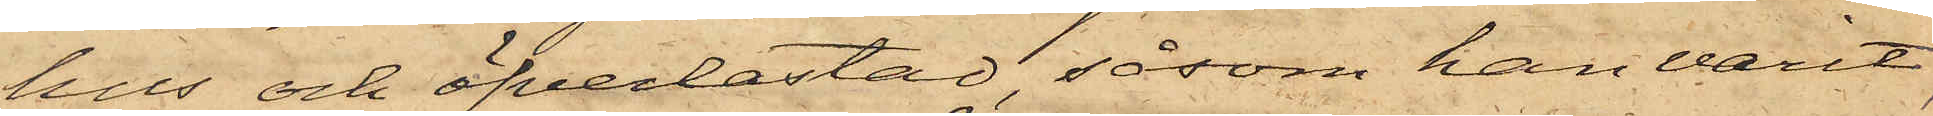hus och öfverlastad, såsom han varit,
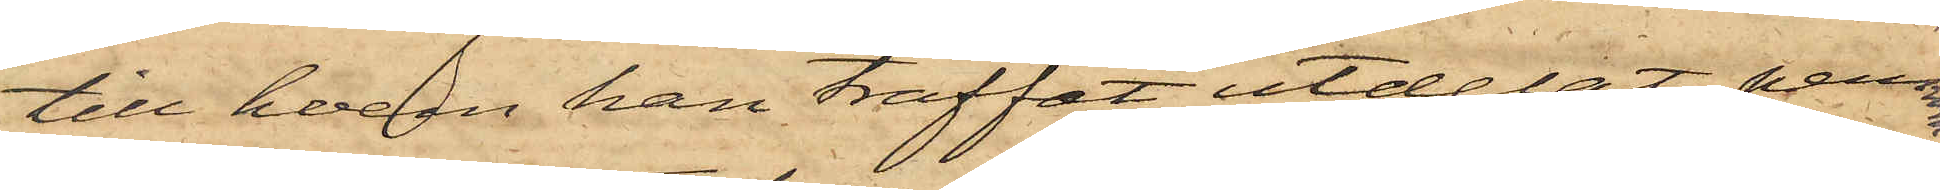till hvem han träffat utdelat pennin¬
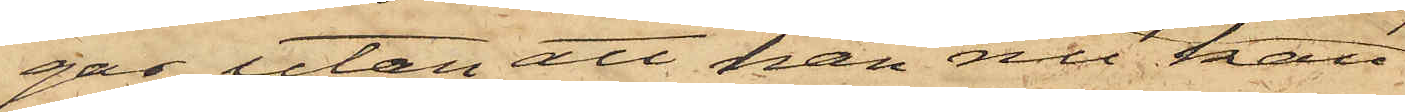gar, utan att han nu kan
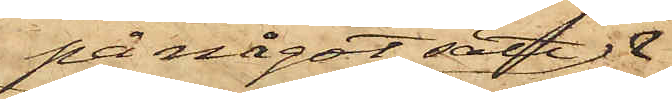på något sätt 
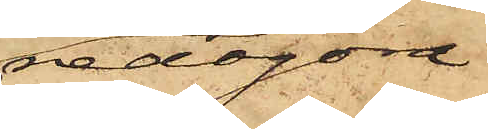redogöra
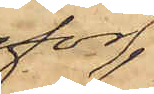för
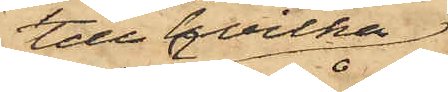till hvilka,
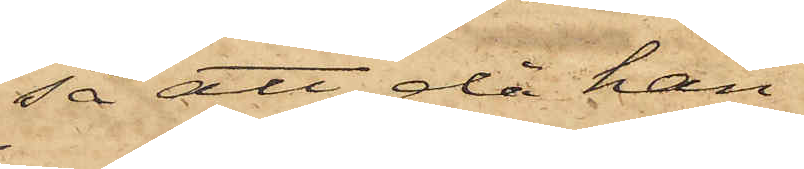så att då han
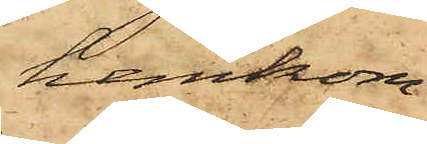hemkom
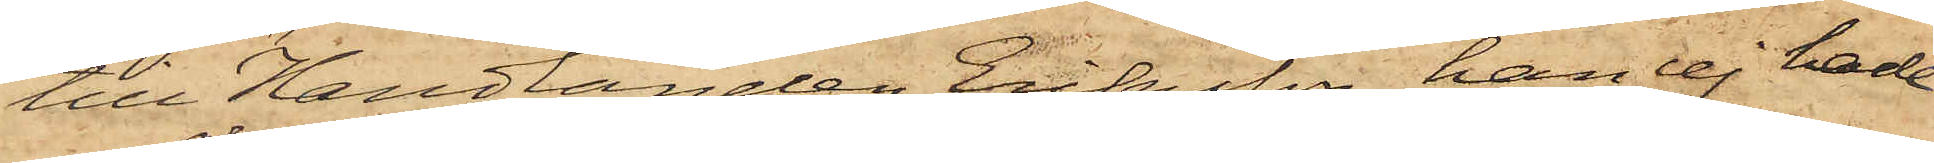till Handlanden Eriksson, han ej hade
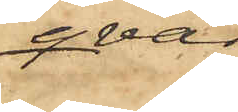qvar
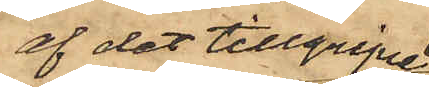af det tillgripne
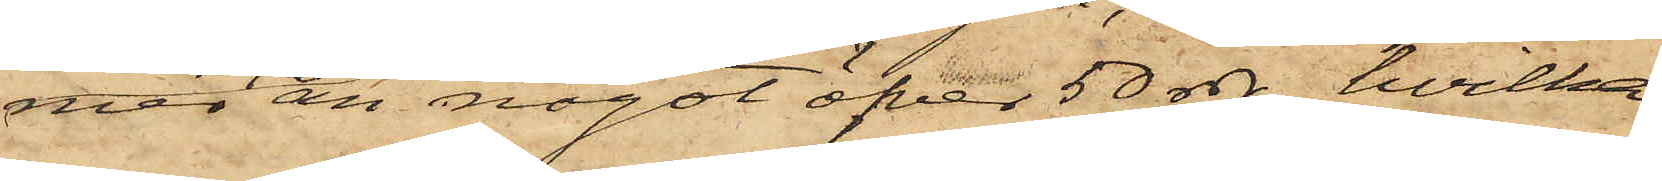mer än något öfver 50 rdr., hvilka
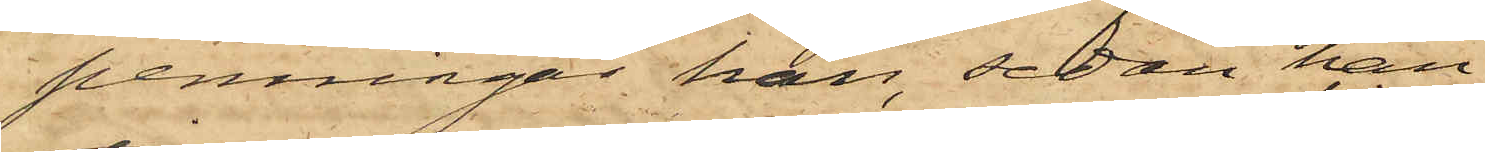penningar han, sedan han
